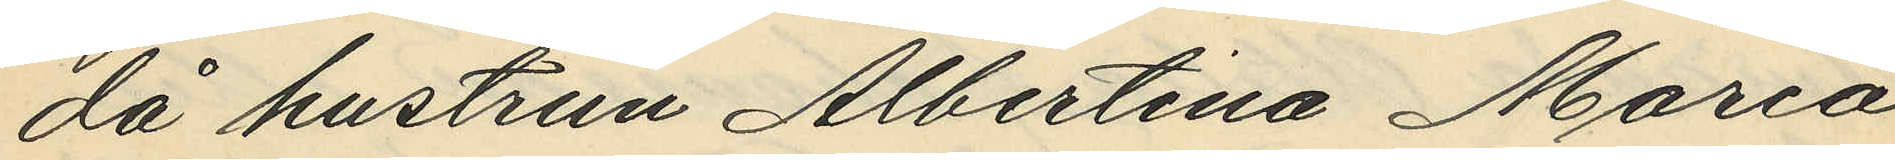då hustrun Albertina Maria
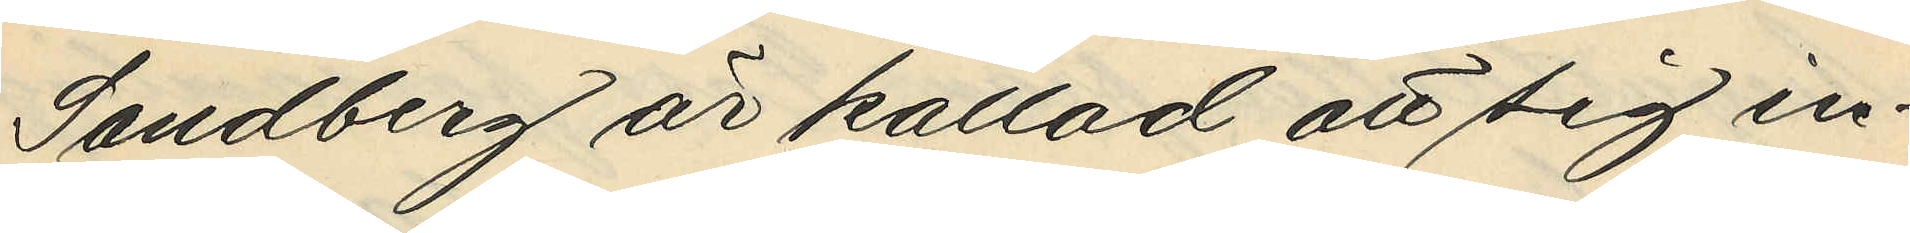Sandberg är kallas att sig in¬
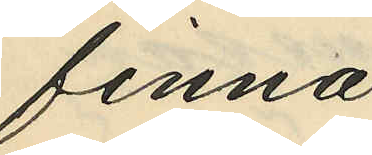finna.
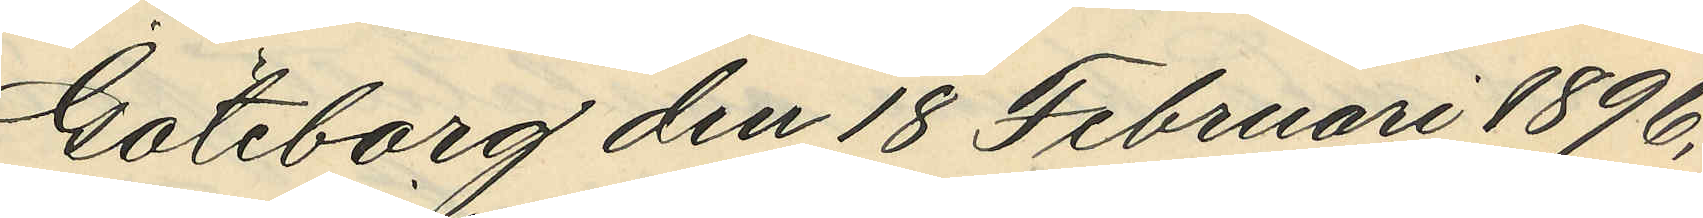Göteborg den 18 Februari 1896.
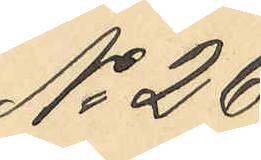No 26.
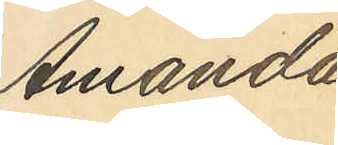Amanda
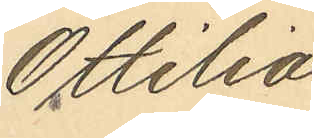Ottilia
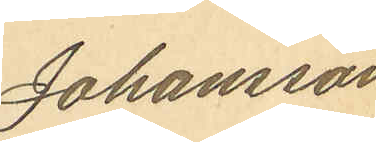Johansson
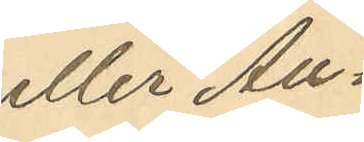eller Au¬
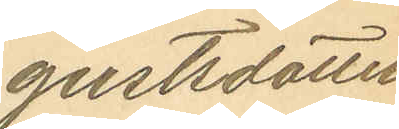gustsdotter
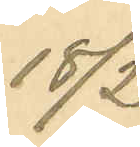18/2
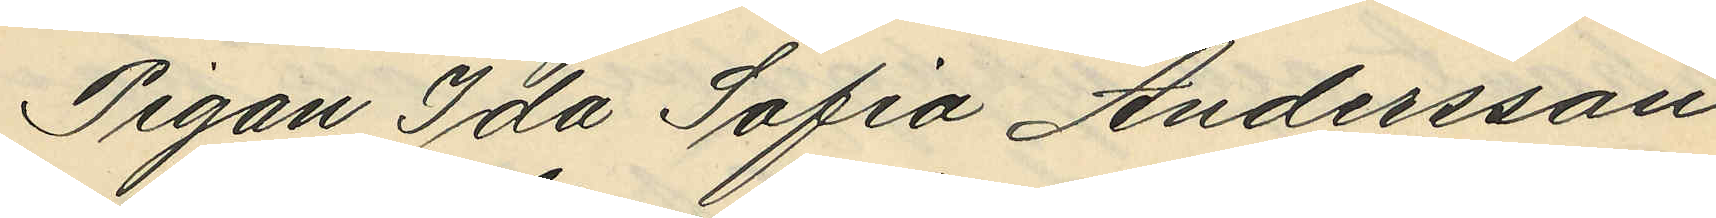Pigan Ida Sofia Andersson
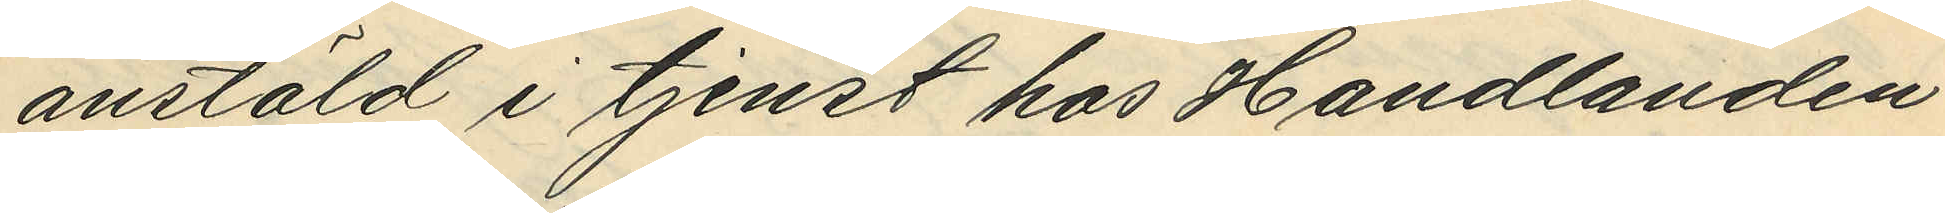anstäld i tjenst hos Handlanden
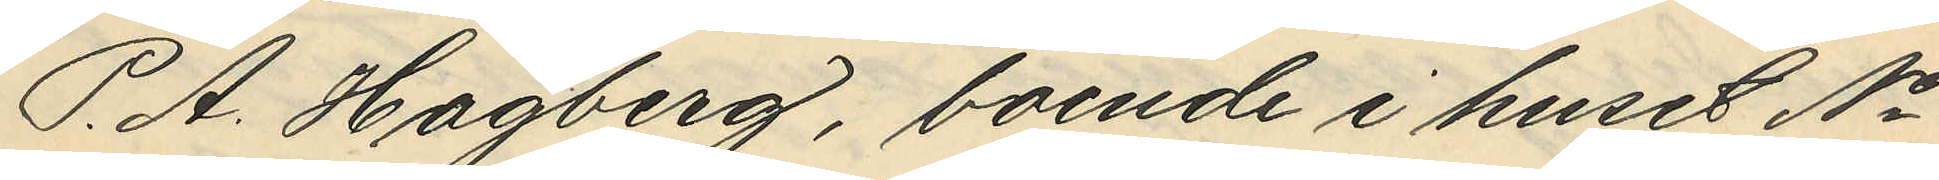P. A. Hagberg, boende i huset No
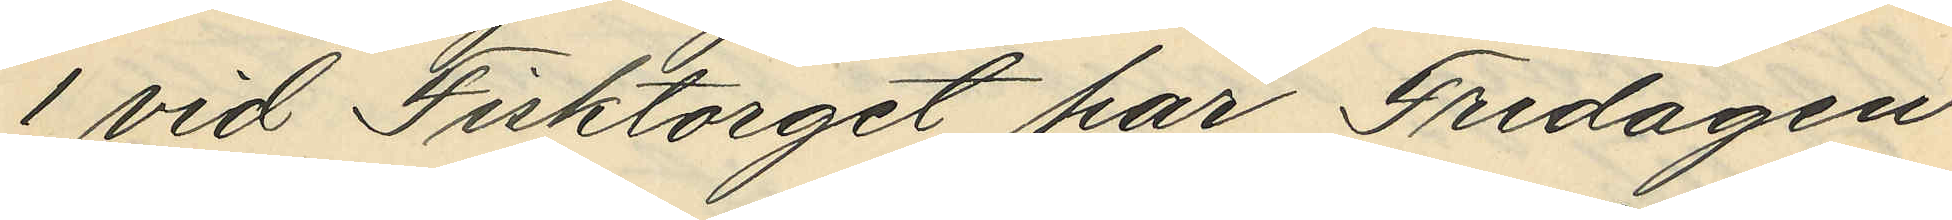1 vid Fisktorget har Fredagen
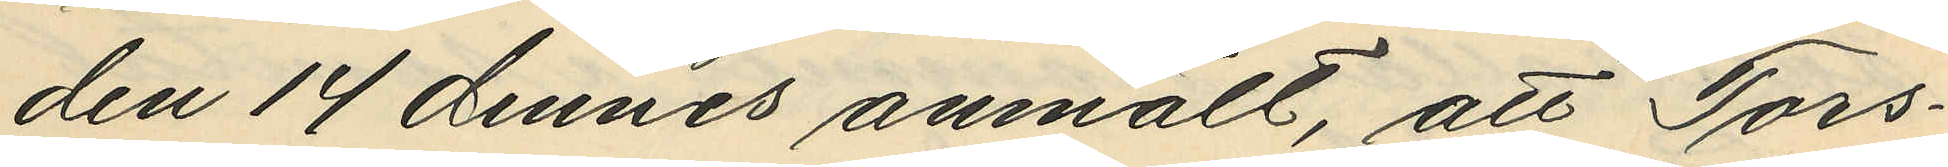den 14 dennes anmält, att Tors¬
